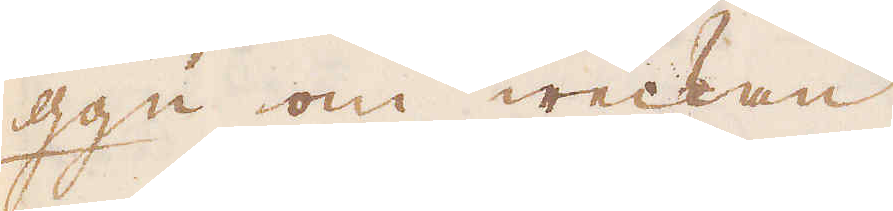gg:n om weckan.
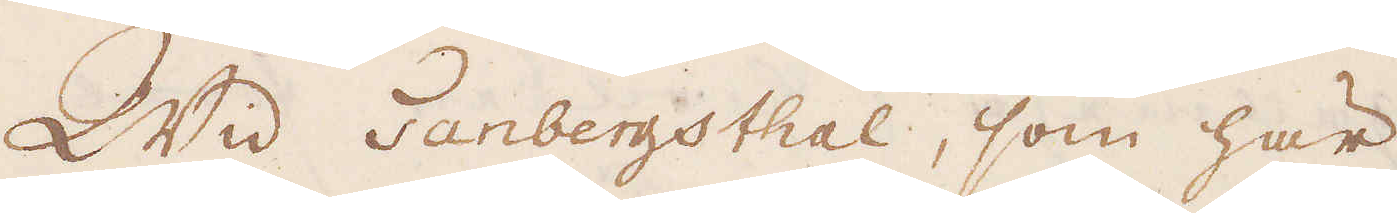Wid Tanbergsthal, som här
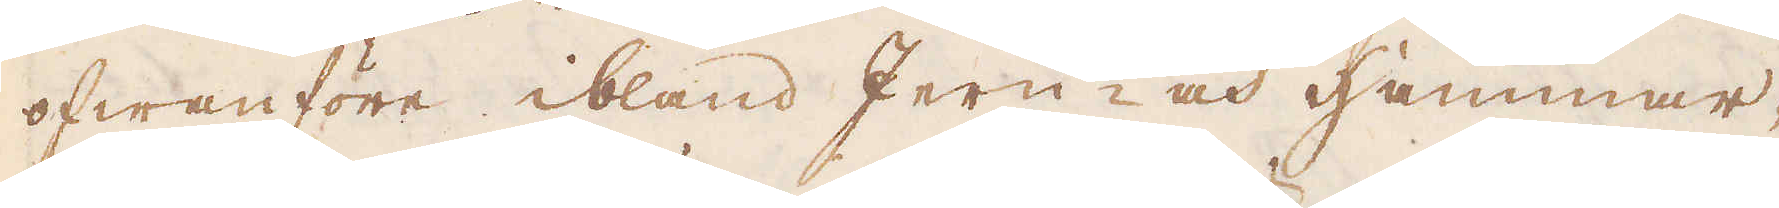ofwanföre ibland Jern- och Hammar-
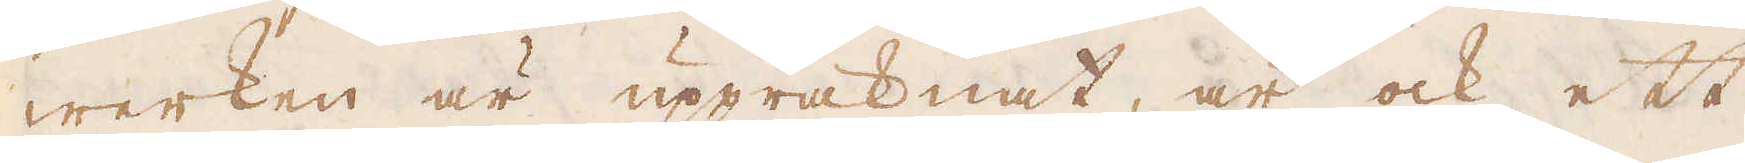werken är uppräknat, är ock ett
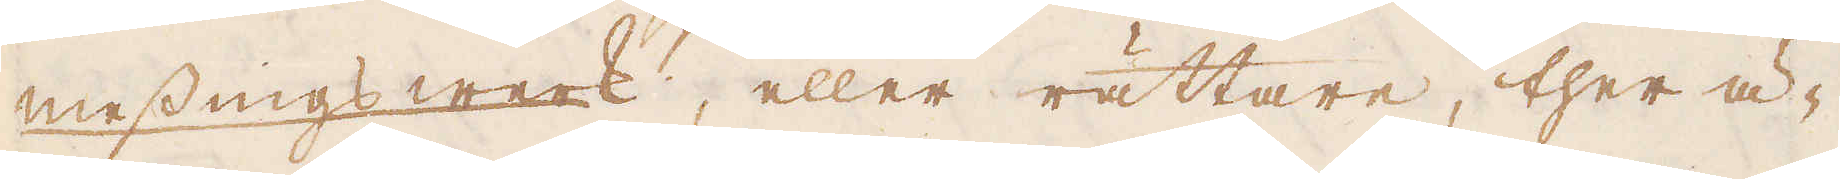messingswerk, eller rättare, ther ä-
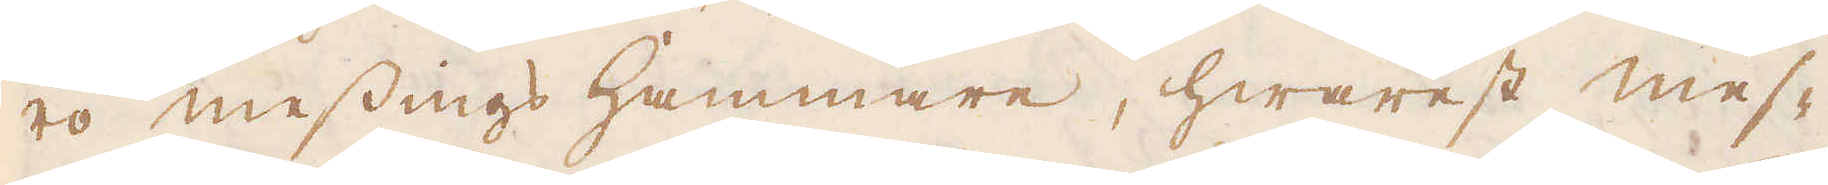ro messings hammare, hwarest mes-
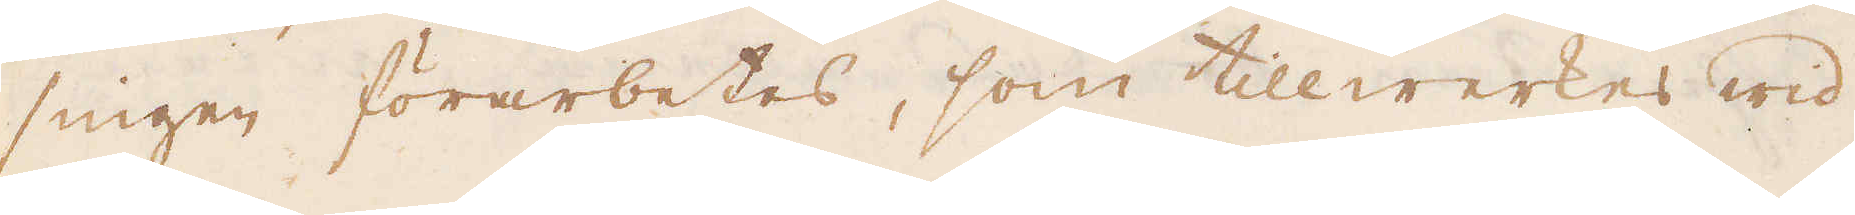singen förarbetas, som tillwerkes wid
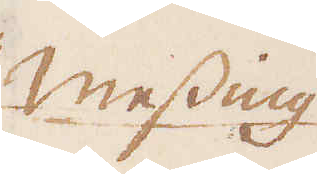Messing
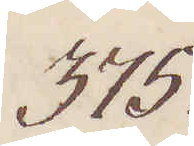375.
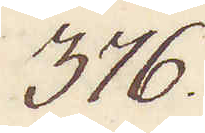376.
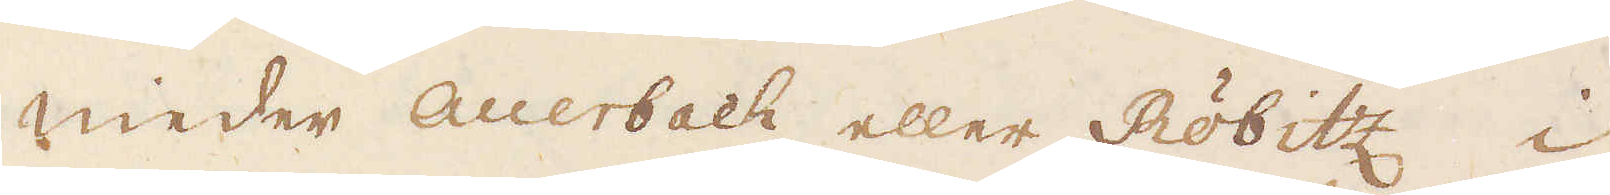nieder auerbach eller Röbitz i
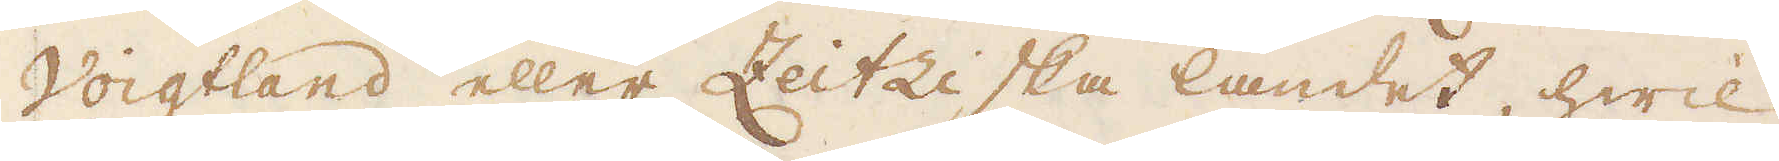Voigtland eller Zeitziska landet, hwil-
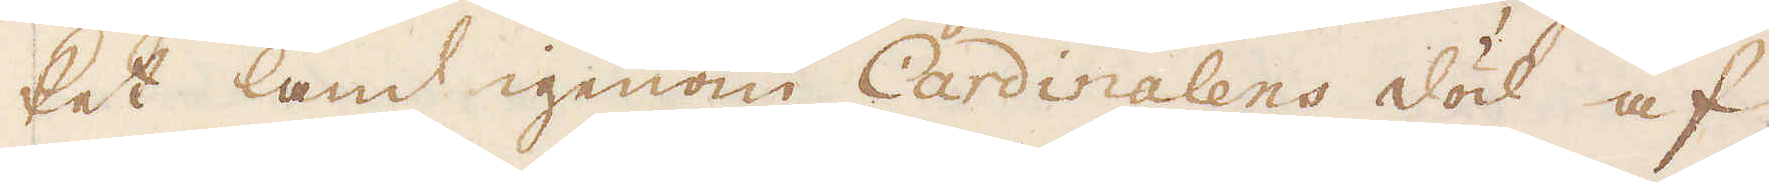ket land igenom Cardinalens död af
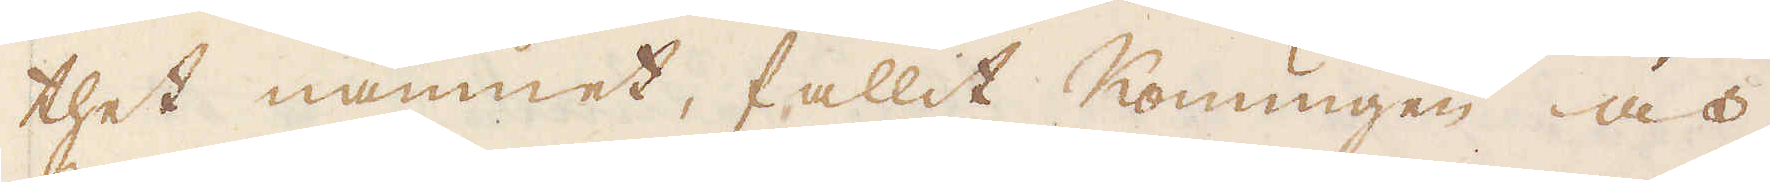thet namnet, fallit Konungen och
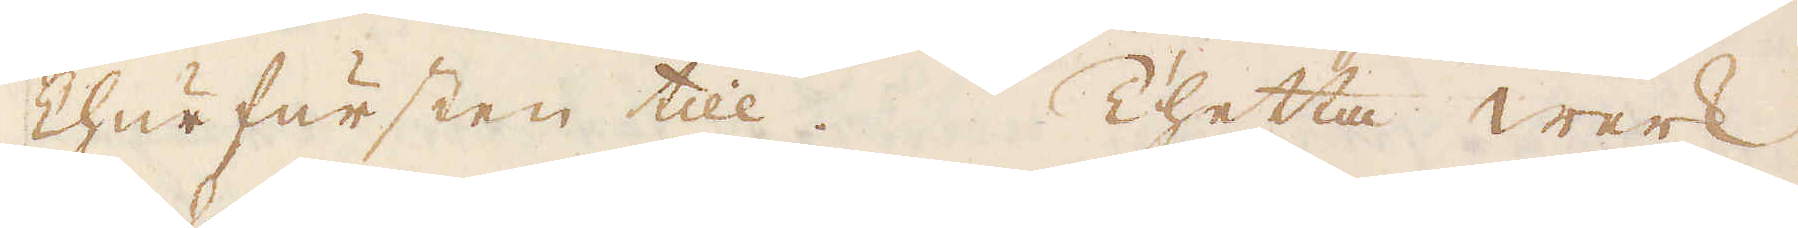Churfursten till. Thetta werk
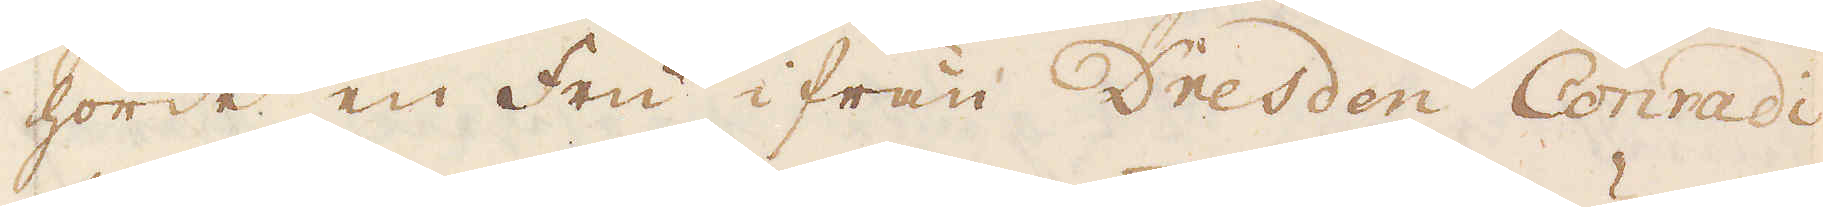hörde en Fru ifrån Dresden Conradi
